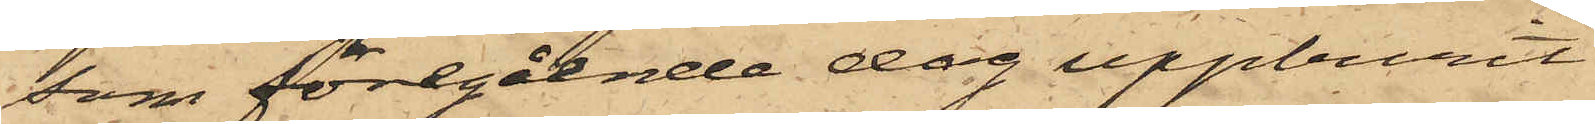som föregående dag uppburit
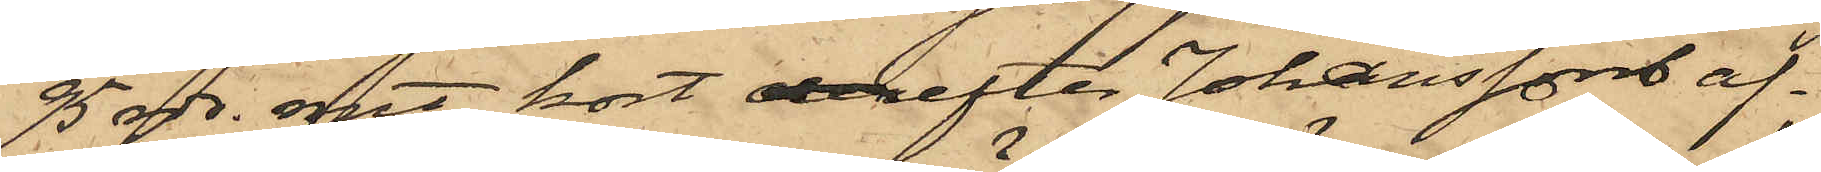95 rdr. rmt, kort derefter Johanssons af¬
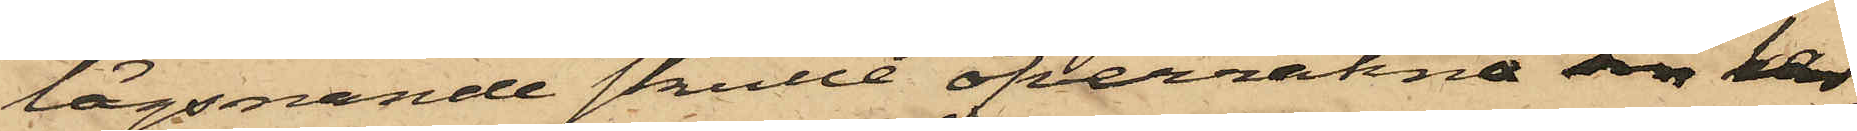lägsnande skulle öfverräkna sin kas¬
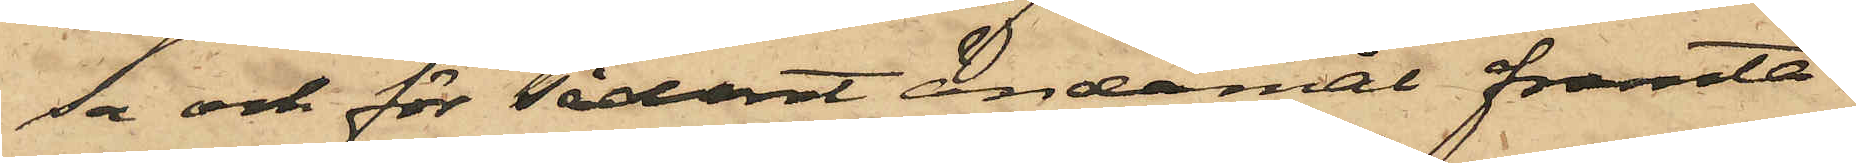sa och för sådant ändamål framta¬
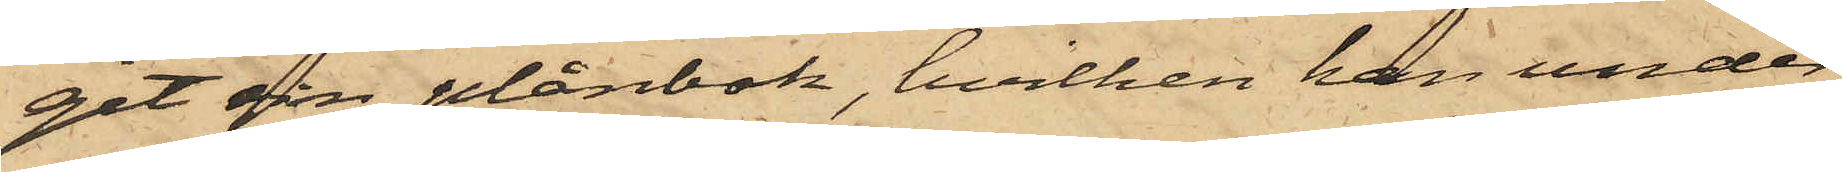git sin plånbok, hvilken han under
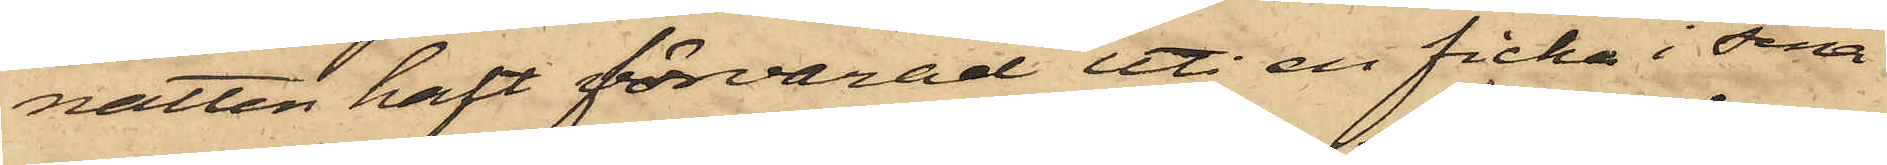natten haft förvarad uti en ficka i sina
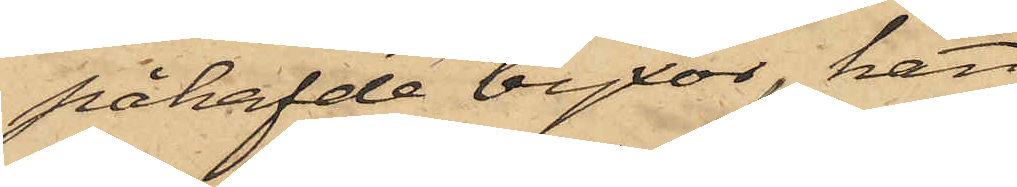påhafvde byxor, han
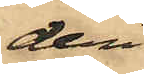deri
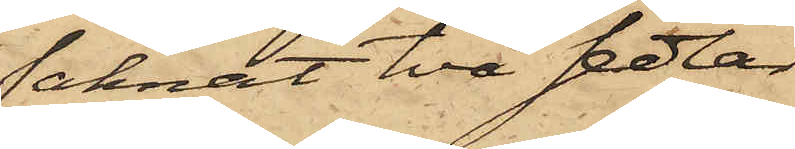saknat två sedlar
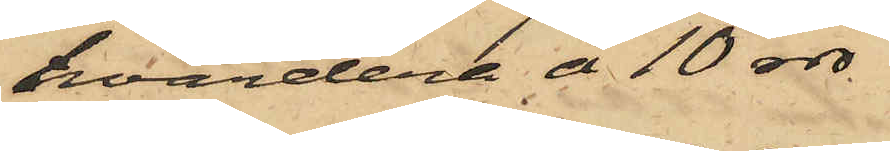hvardera å 10 rdr,
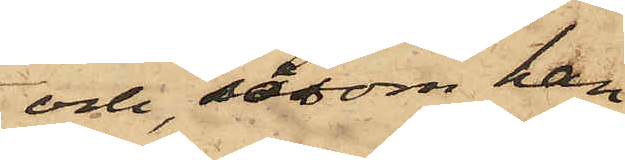och, såsom han
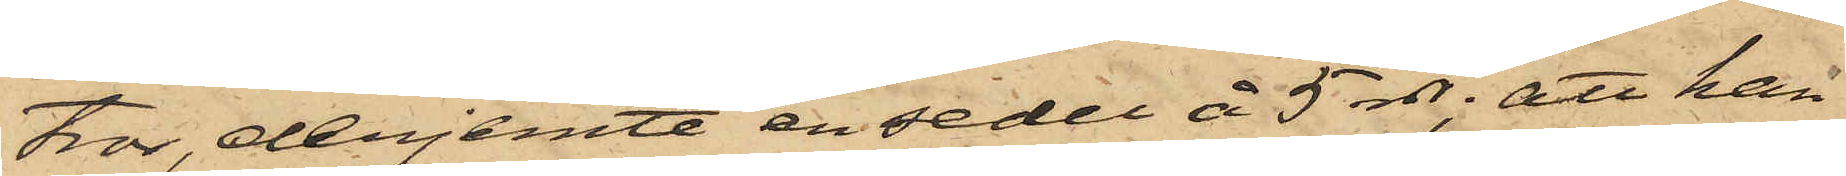tror, derjemte en sedel å 5 rdr; att han
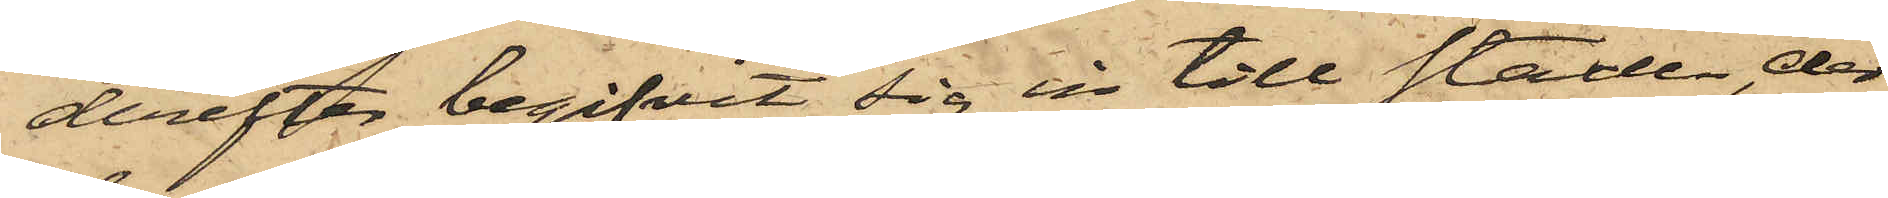derefter begifvit sig in till staden, der
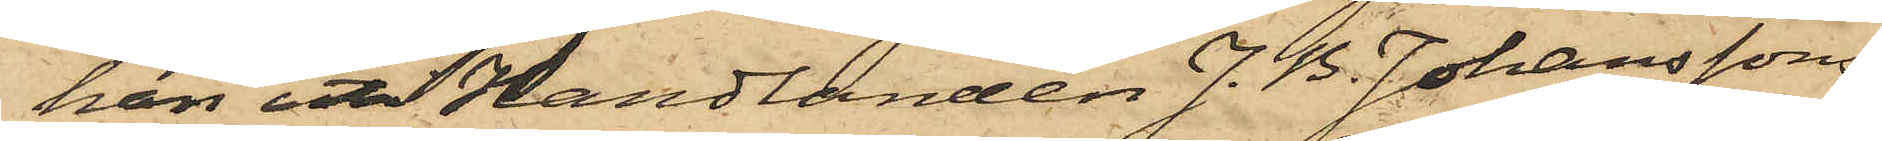han uti Handlanden J. B. Johanssons
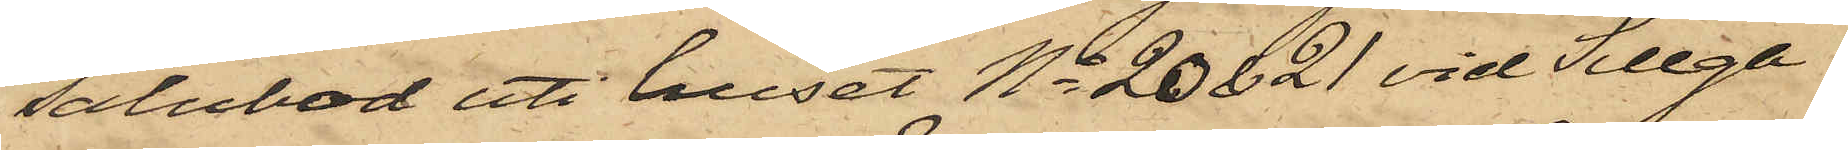salubod uti huset No 20 & 21 vid Sillga¬
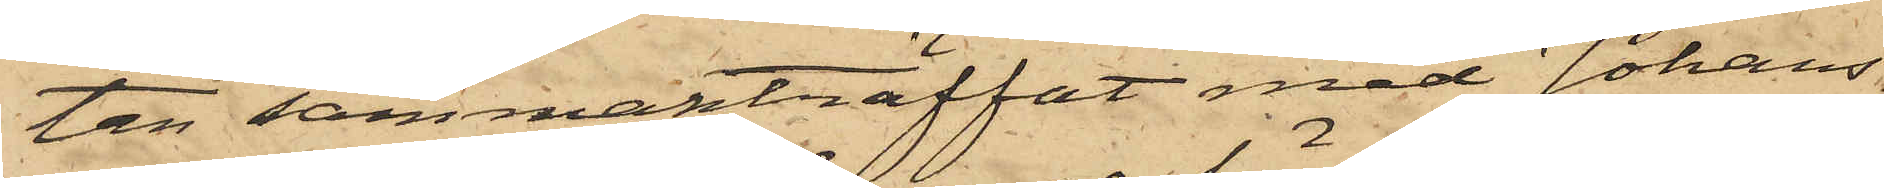tan sammanträffat med Johans¬
